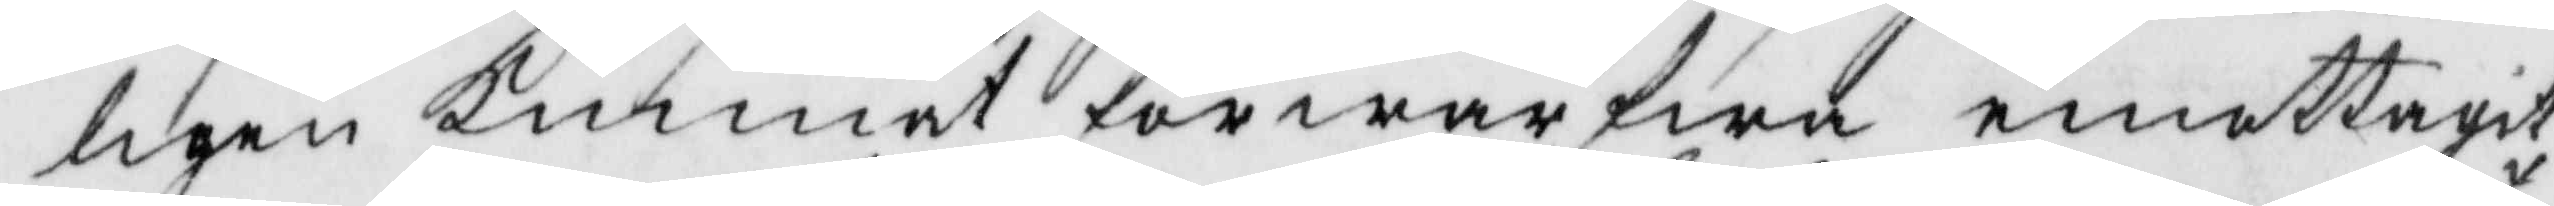ligen kunnat förwärfwa emottagit
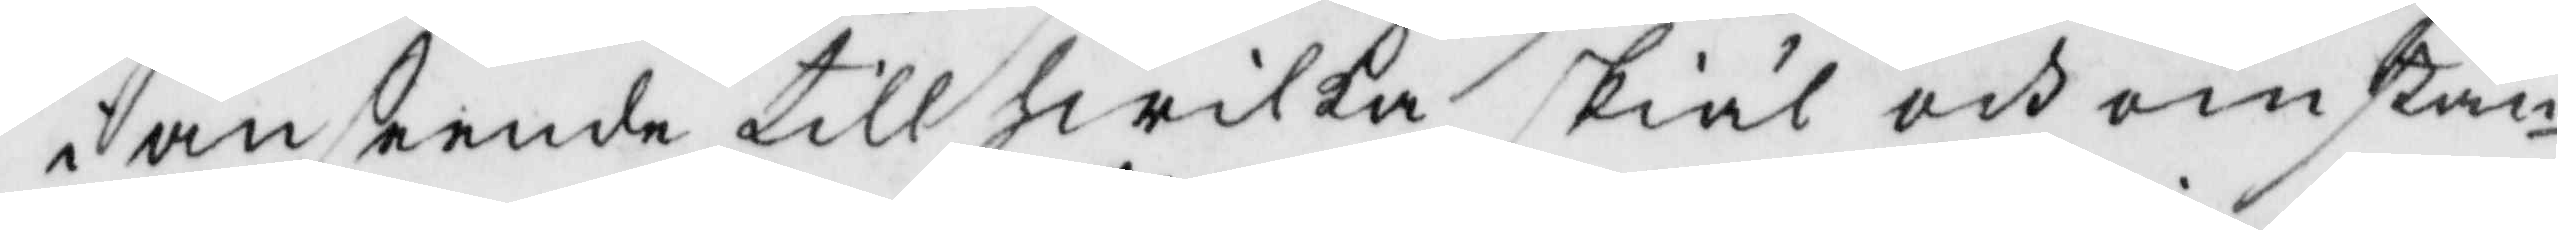i anseende till hwilka skiäl och omstän¬
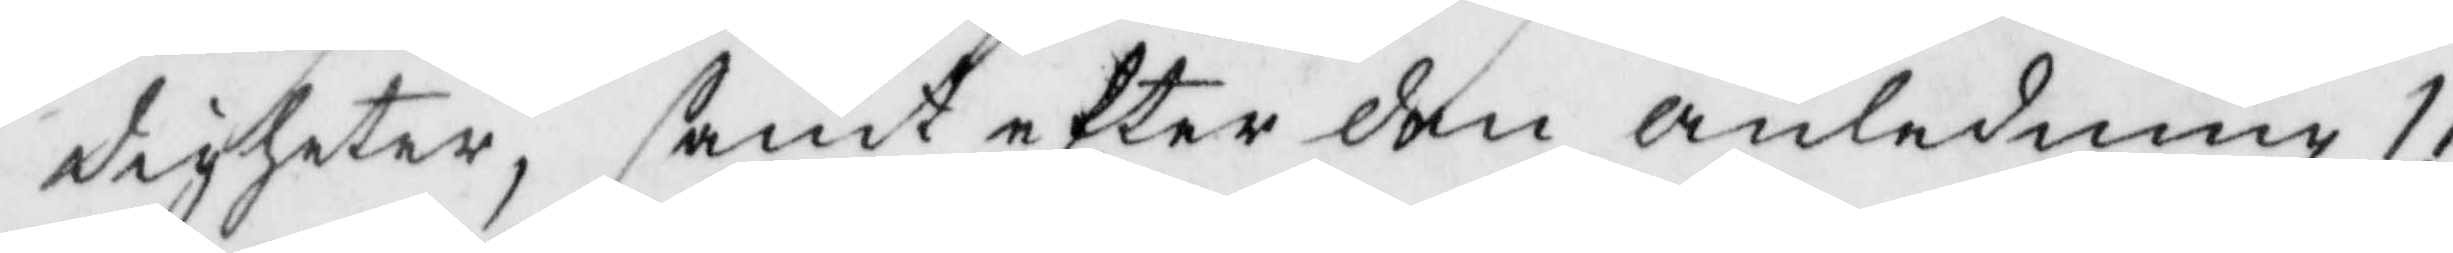digheter, samt efter den anledning 11
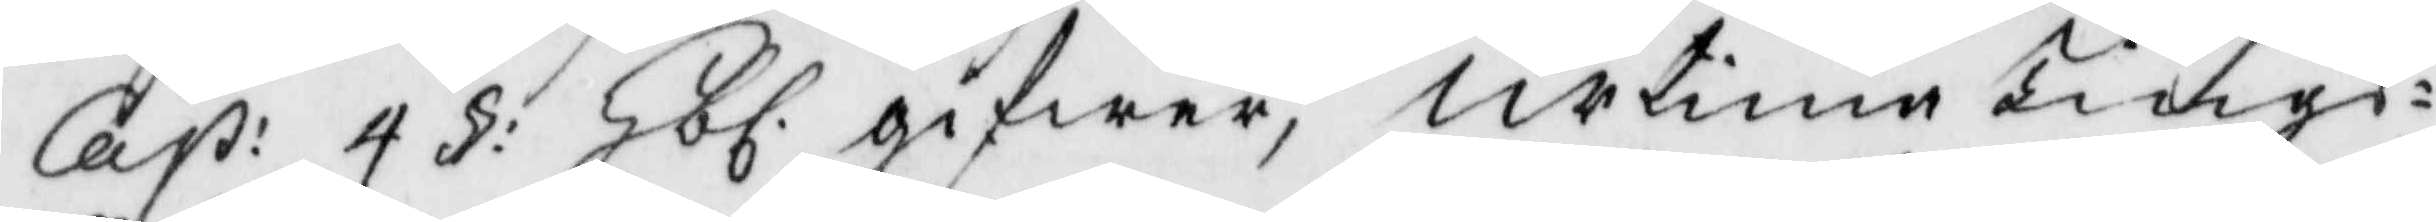Cap: 4 § Hbl. gifwer, urtima Tings¬
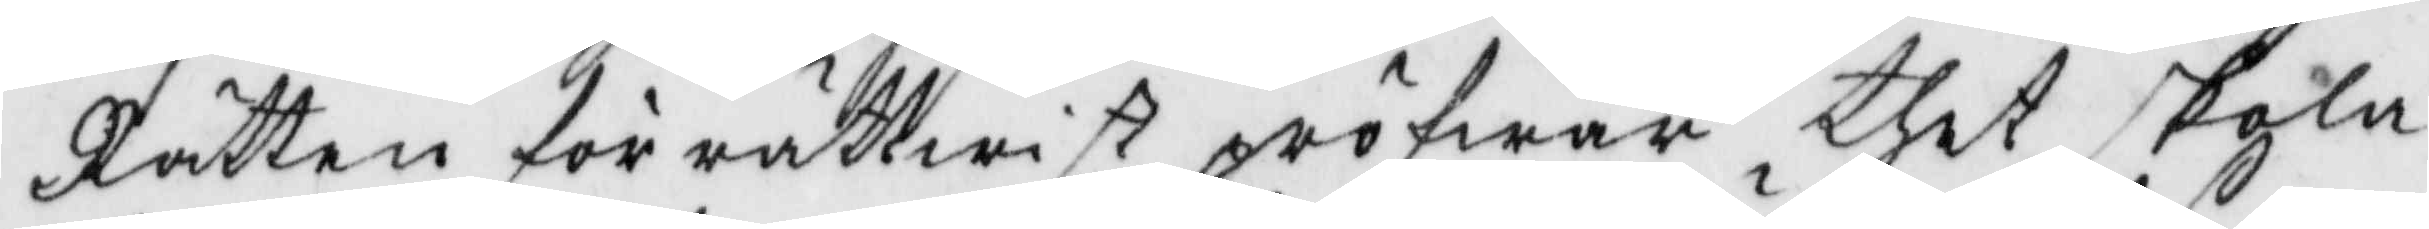Rätten för rättwist pröfwar thet skola
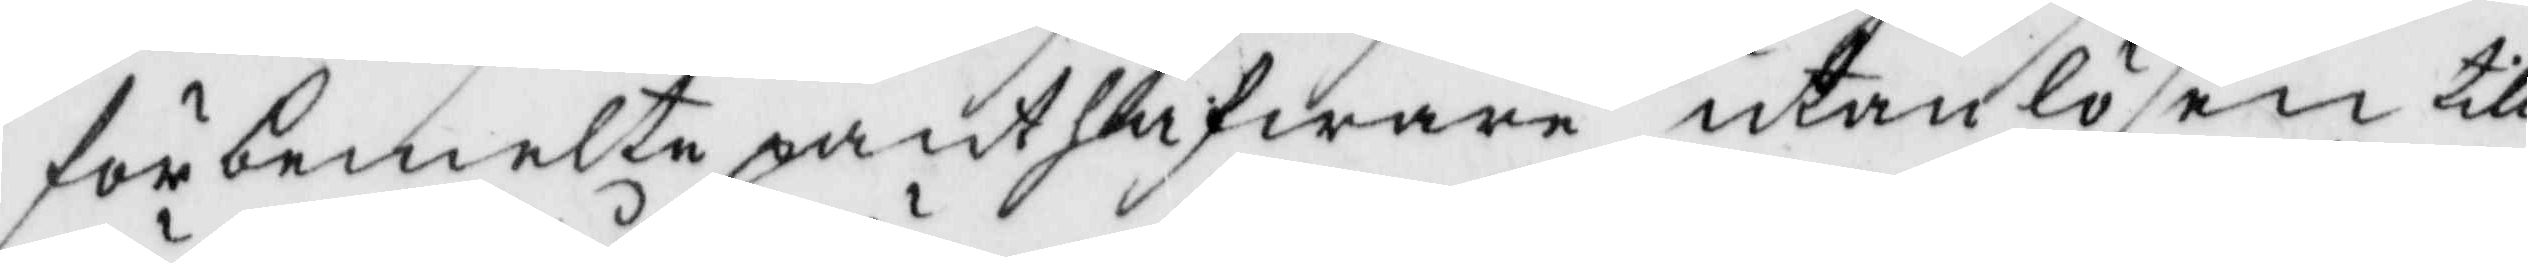förbemelte panthafware utan lösen till
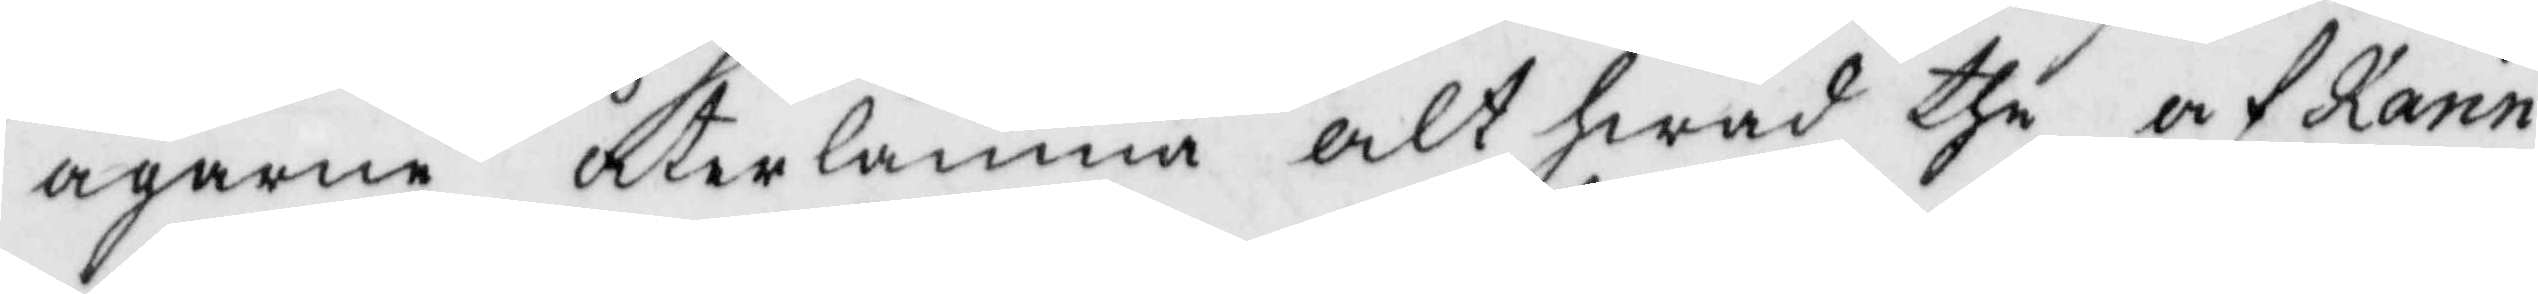ägarne återlämna alt hwad the af Karin
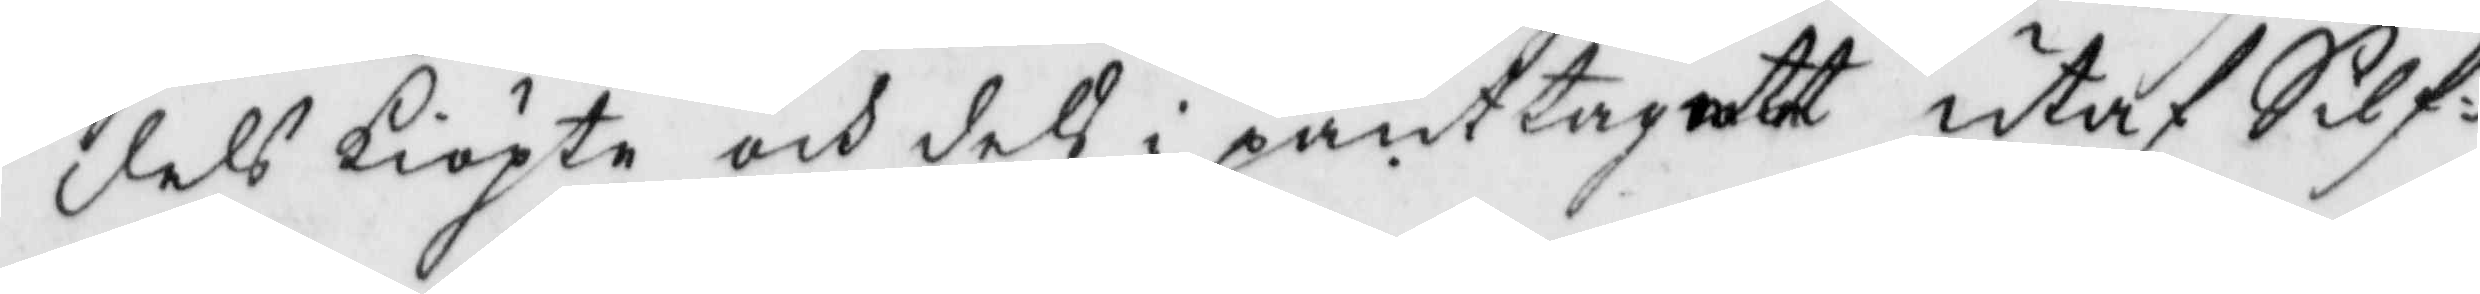dels kiöpte och dels i pant tagit utaf Silf¬
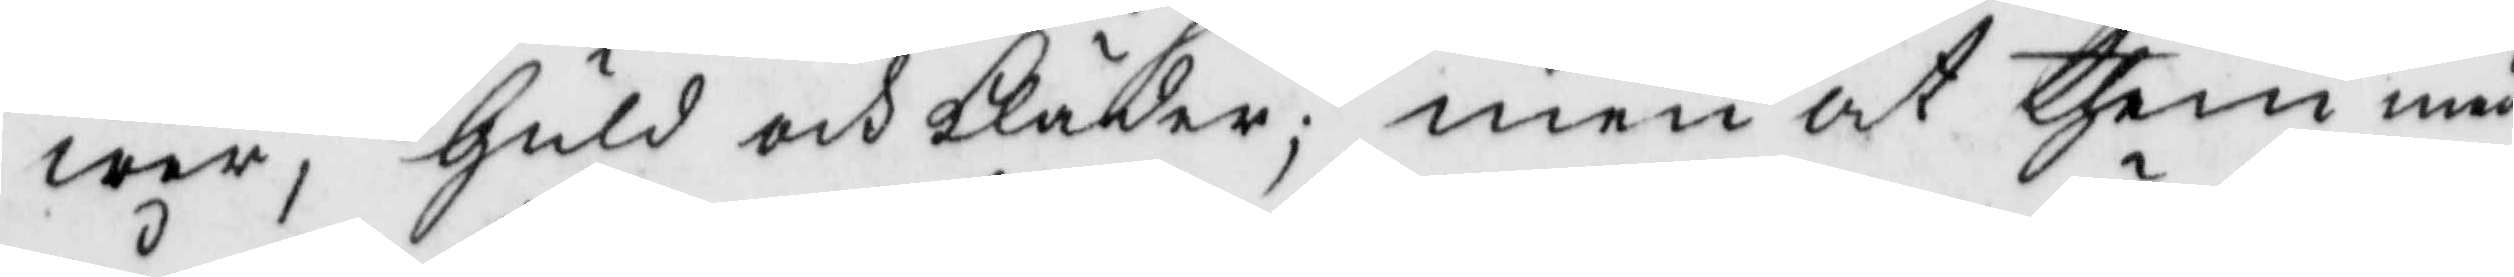wer, Guld och kläder; men at them med
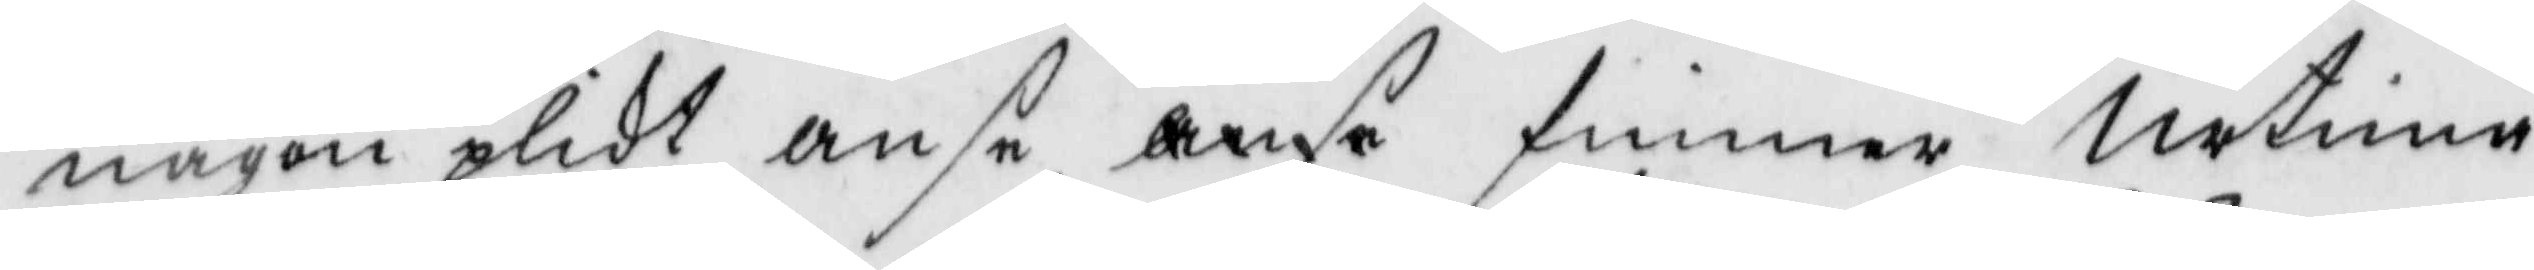någon plikt anse anse finner Urtima
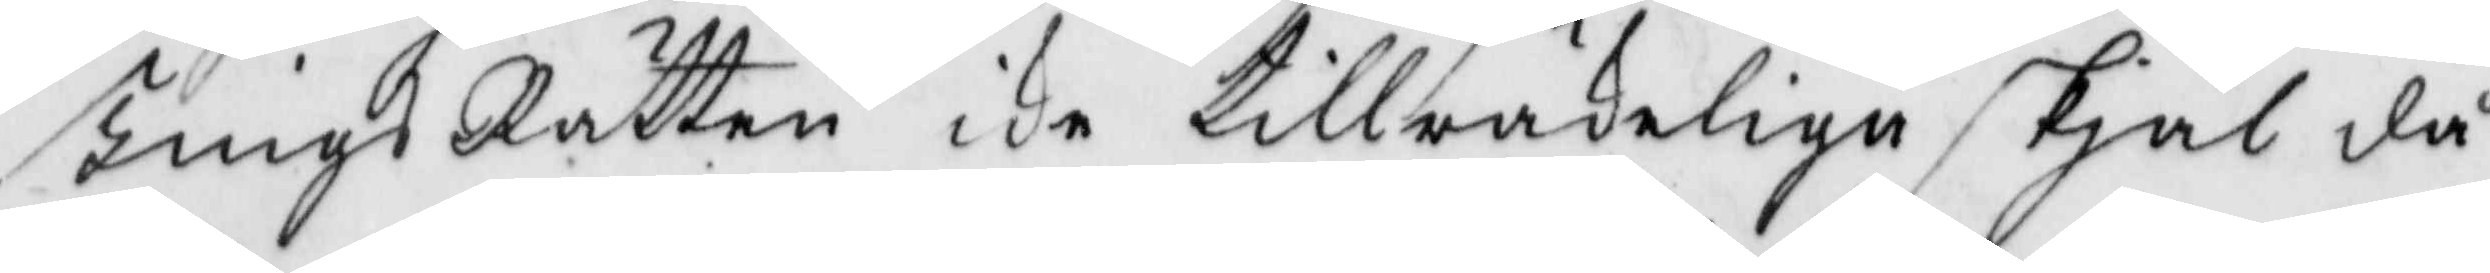TingsRätten icke tillräkeliga skjäl då
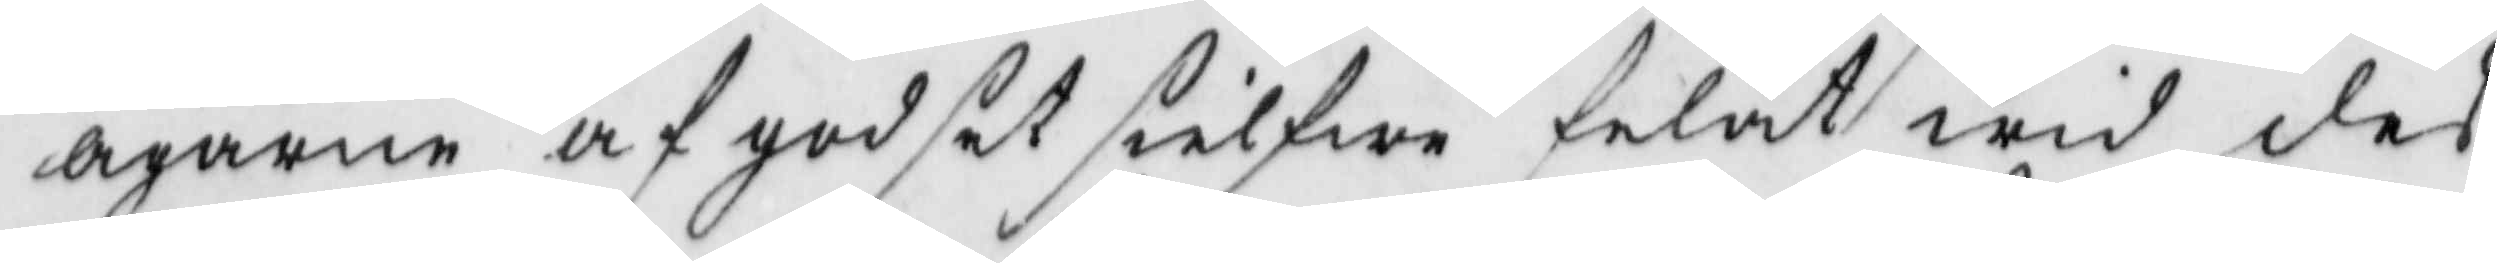ägarne af godset sielfwe felat wid des
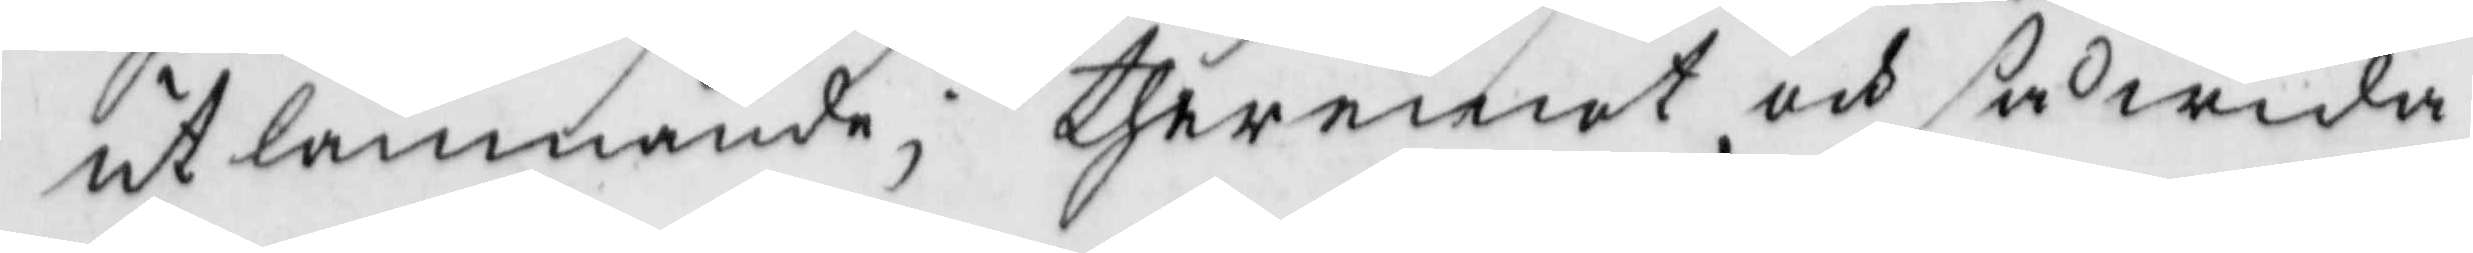utlämnande; theremot och såwida
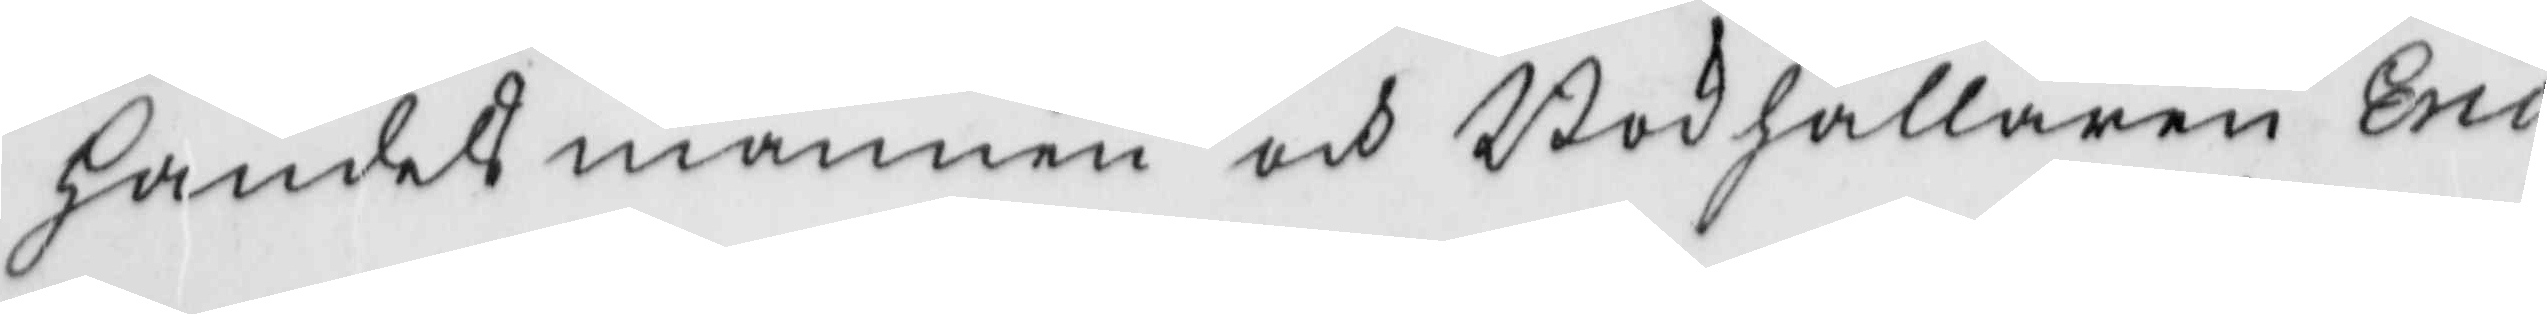handelsmannen och Bokhållaren Eric
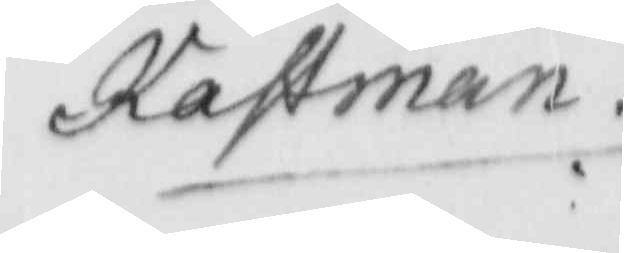Kastman
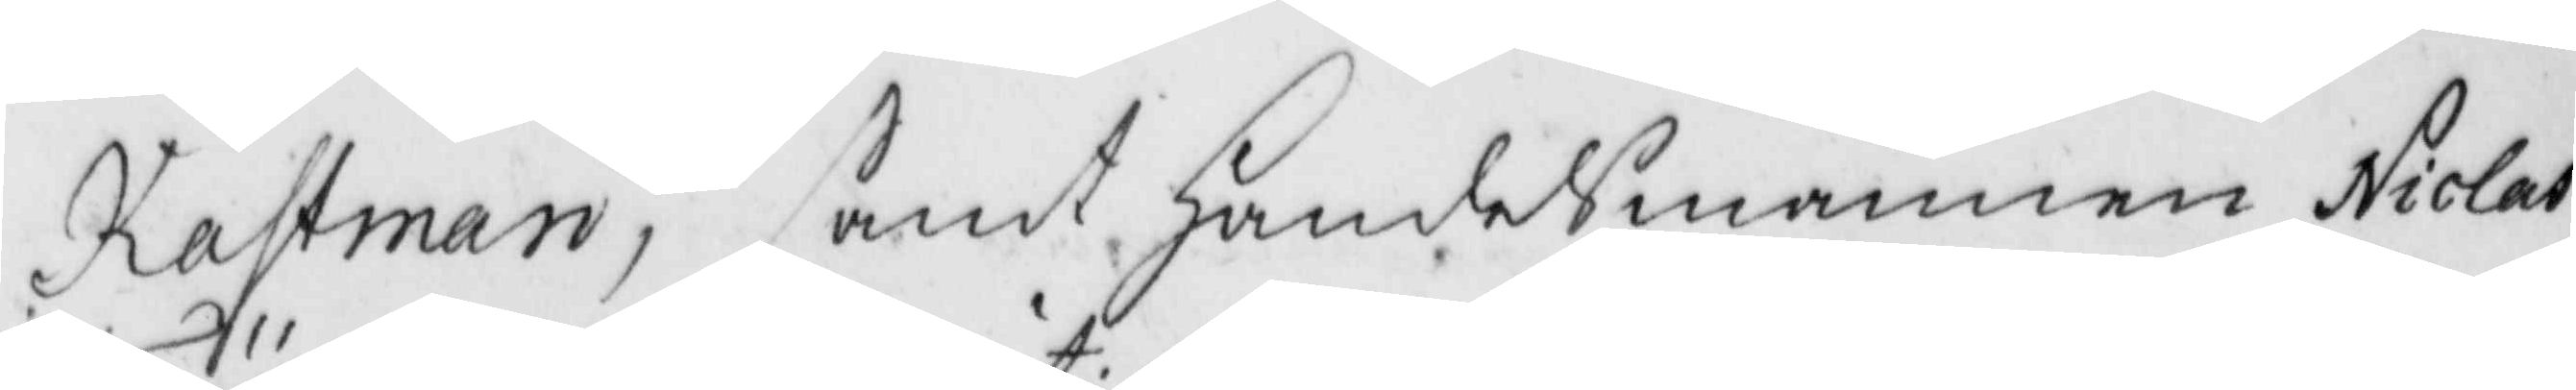Katsman, samt handelsmannen Niclas
